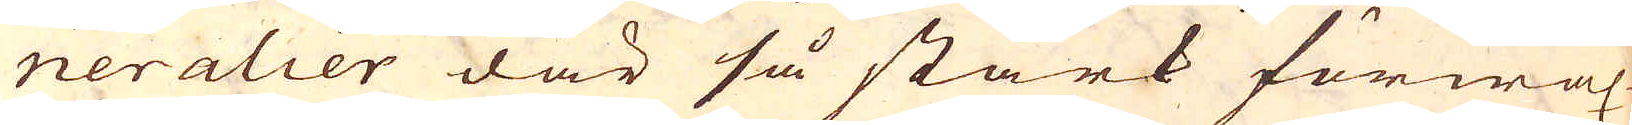neralier där så stark förwäx-
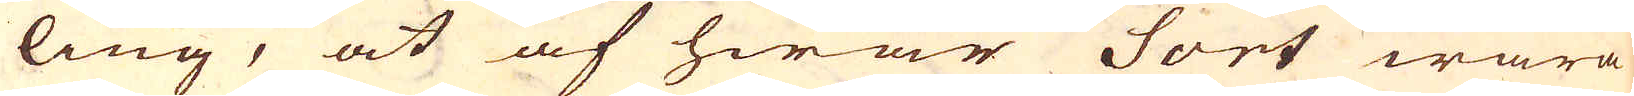ling, at af hwar Sort wara
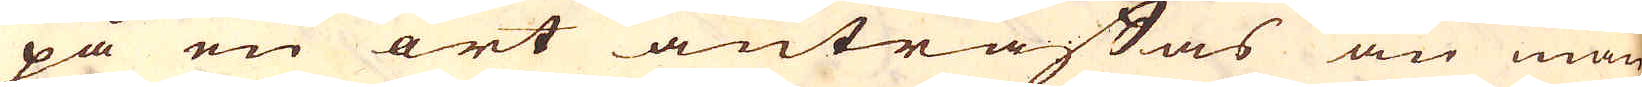på en ort anträffas än man
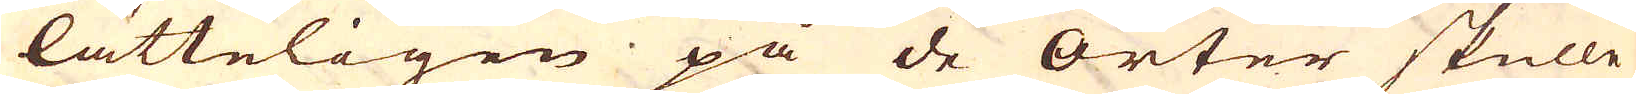lätteligen på de orter skulle
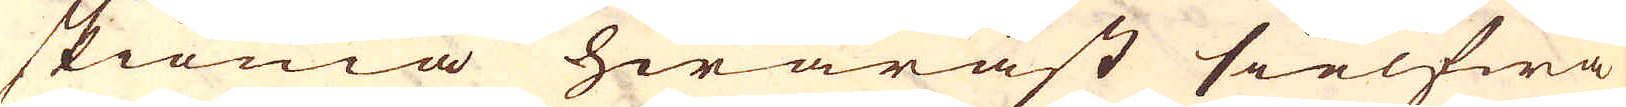skiönia hwaräst sielfwa
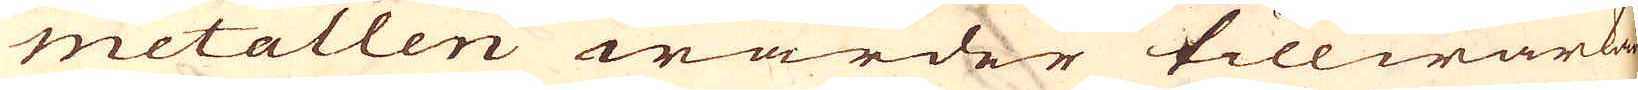metallen warder tillwärkad.
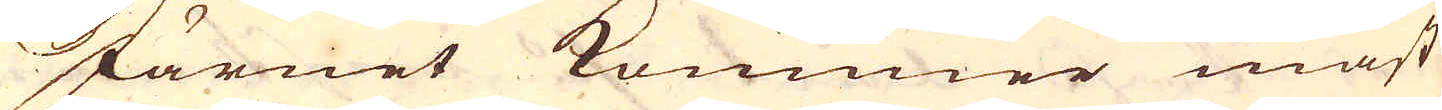Järnet kommer mäst
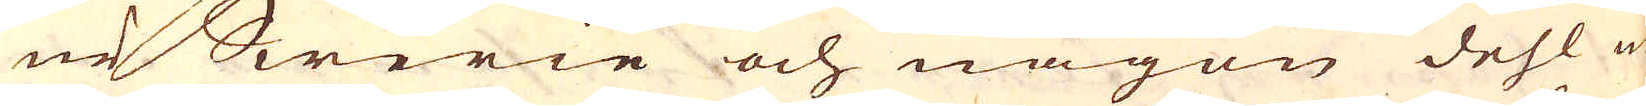ur Swerie och någon dehl ur
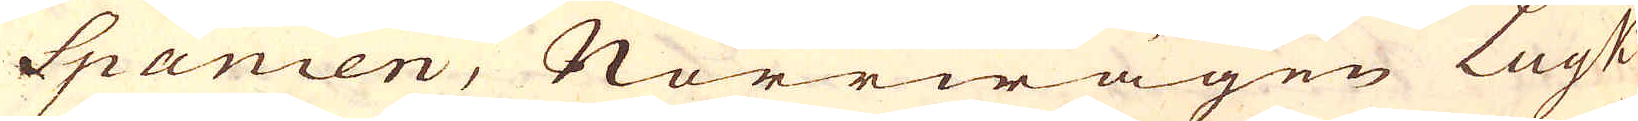Spanien, Norrwägen Lyuk
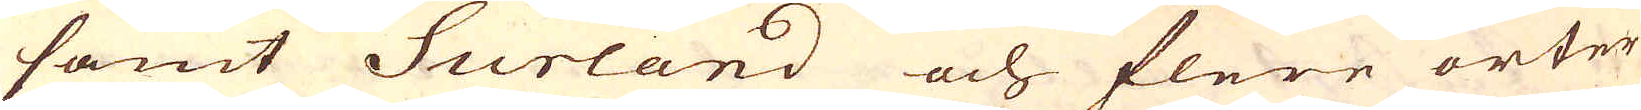samt Surland och flere orter
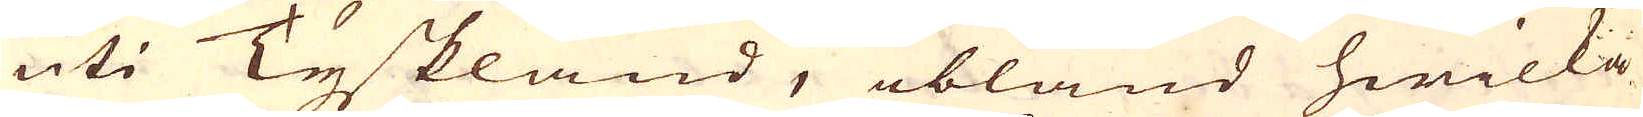uti Tyskland, ibland hwilka
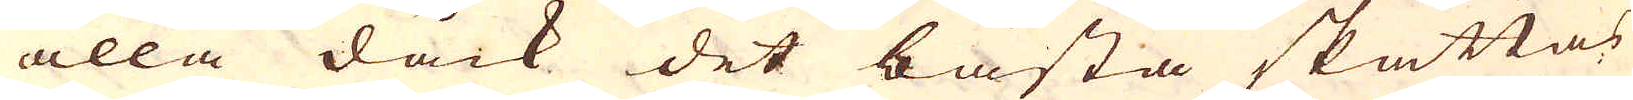alla dåck det bästa skattas
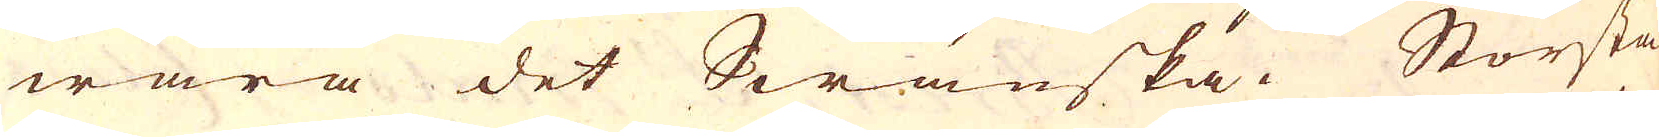wara det Swänska. Största
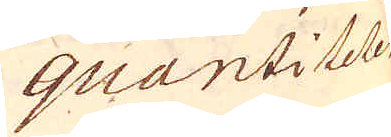quantiteten
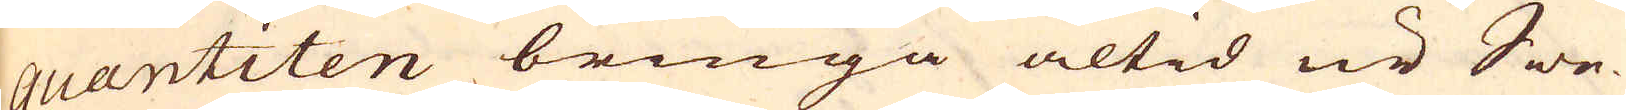quantiten bringa altid ur Swe-
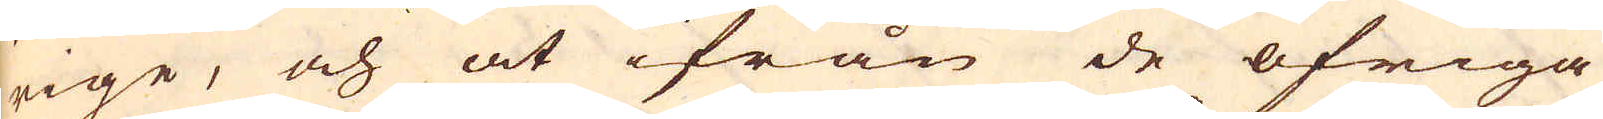rige, och at ifrån de öfriga
